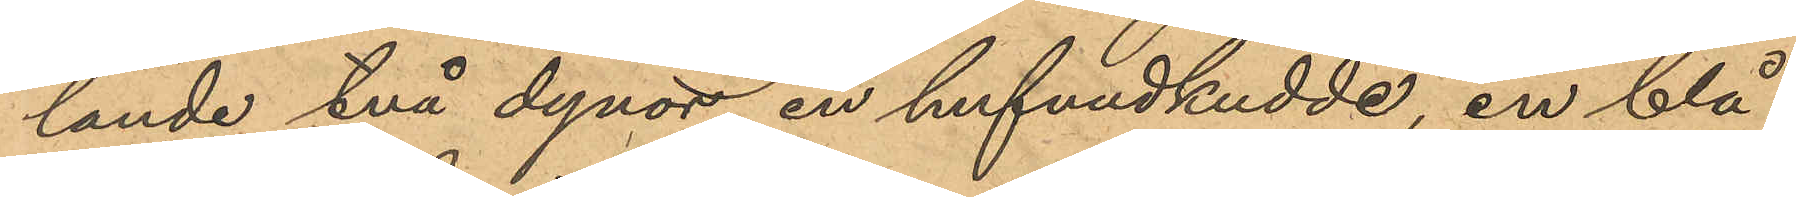lande två dynor, en hufvudkudde, en blå
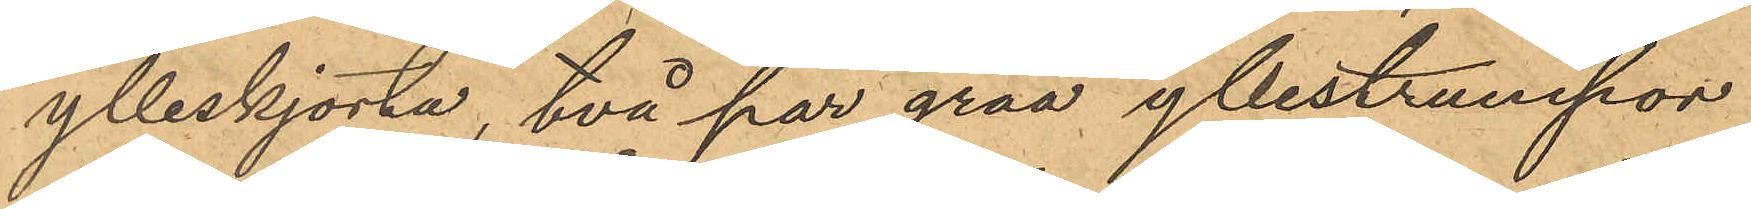ylleskjorta, två par gråa yllestrumpor
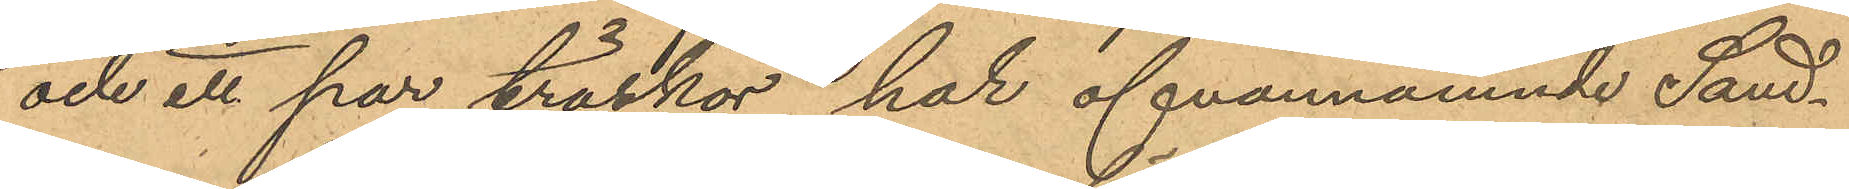och ett par träskor, har ofvannämnde Sand¬
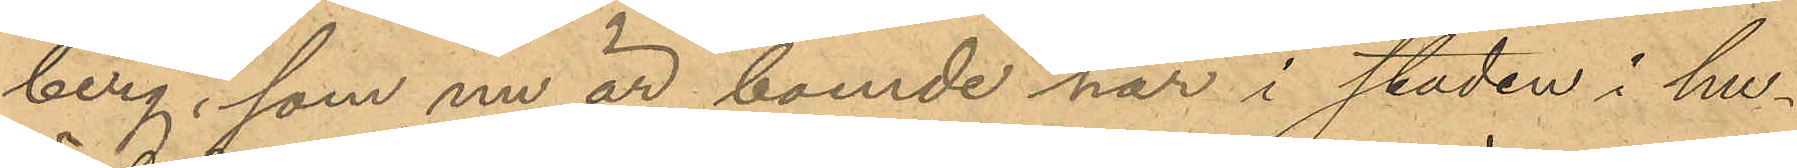berg, som nu är boende här i staden i hu¬
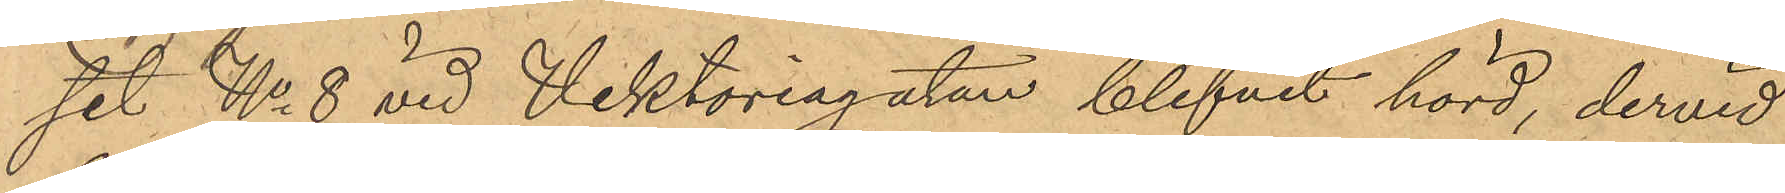set No 8 vid Viktoriagatan blifvit hörd, dervid
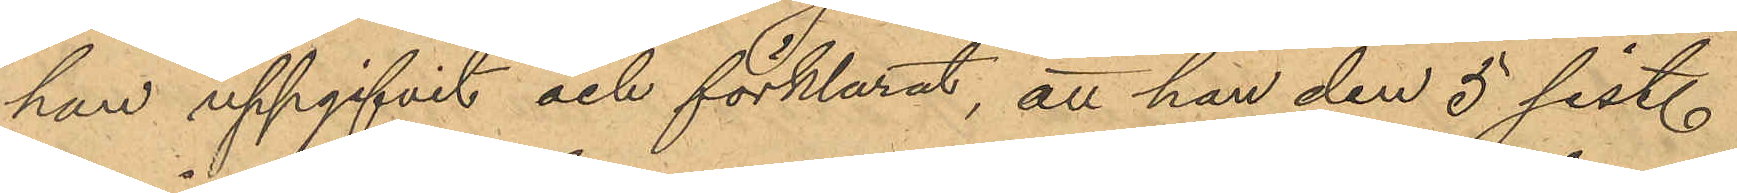han uppgifvit och förklarat, att han den 5 sist.
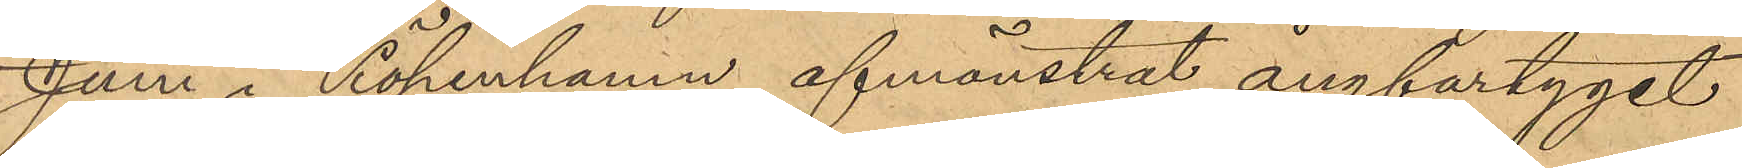Juni i Köpenhamn afmönstrat ångfartyget
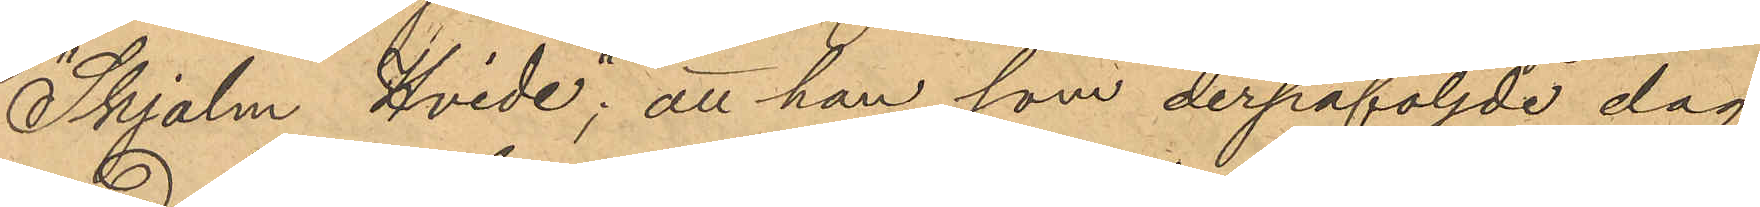"Skjolm Hvide", att han som derpåföljde dag
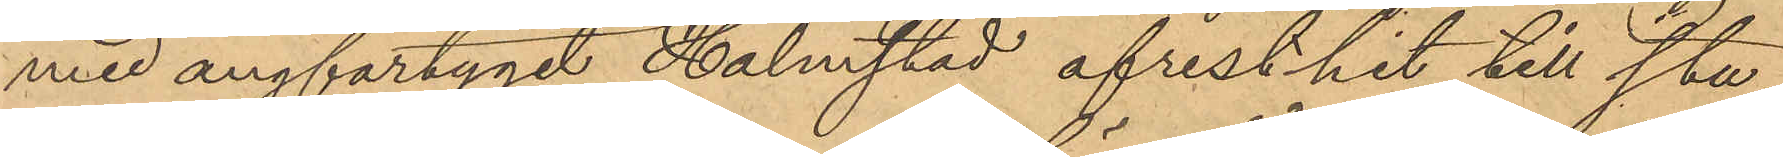med ångfartyget Halmstad afrest hit till sta¬
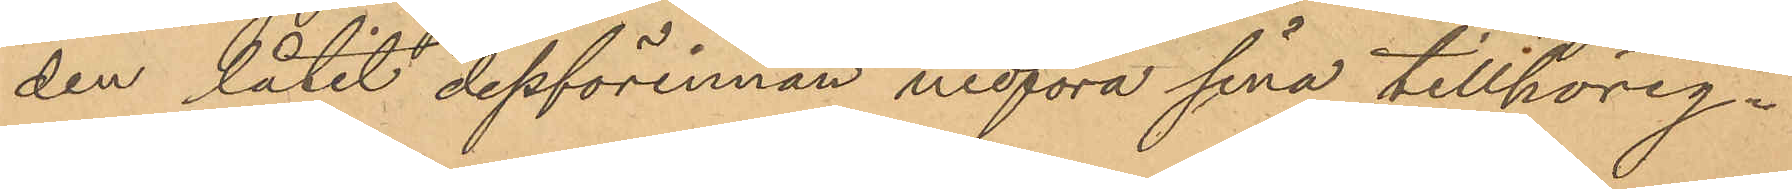den låtit dessförinnan medföra sina tillhörig¬
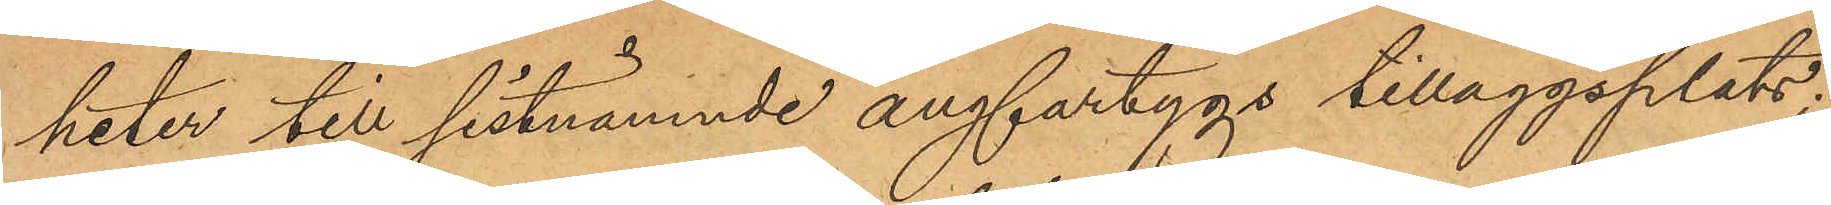heter till sistnämnde ångfartygs tilläggsplats;
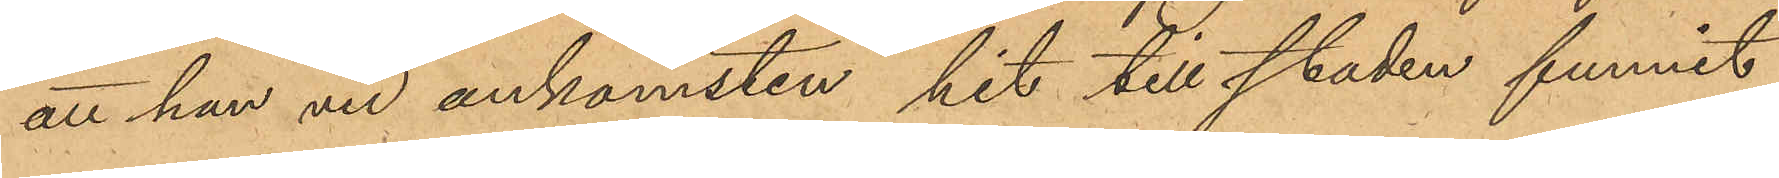att han vid ankomsten hit till staden funnit
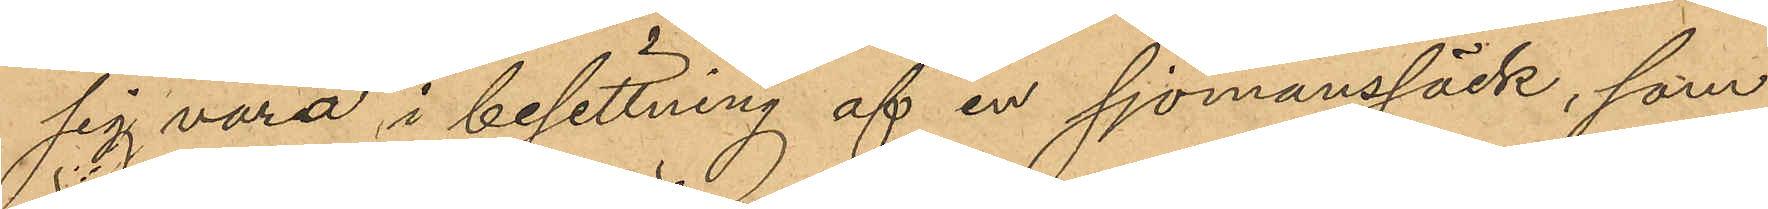sig vara i besittning af en sjömanssäck, som
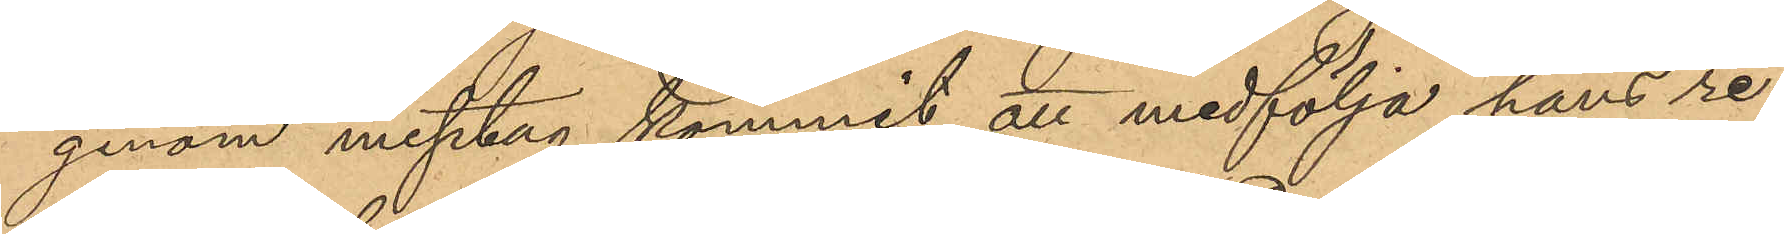genom misstag kommit att medfölja hans re¬
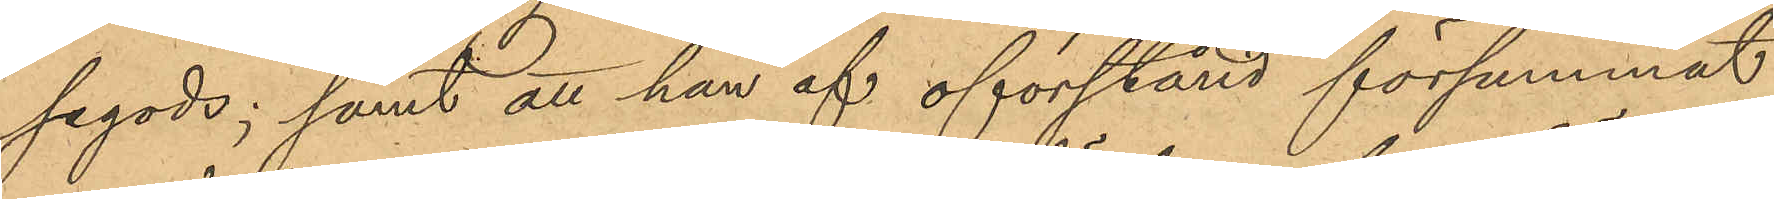segods; samt att han af oförstånd försummat
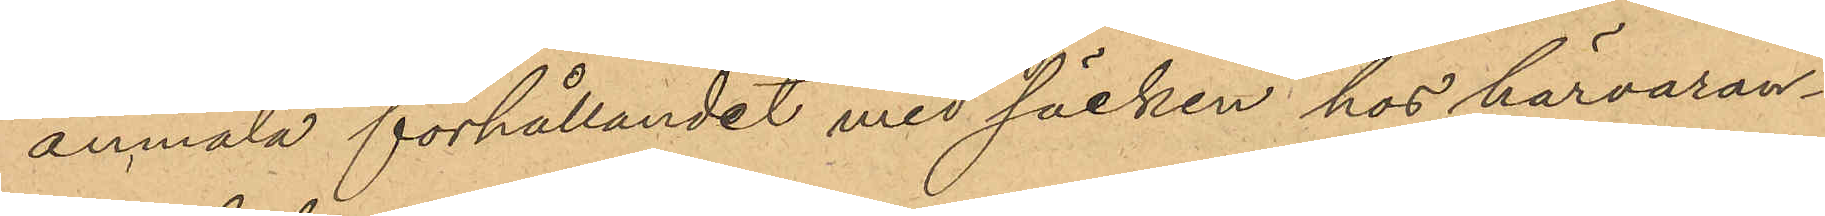anmäla förhållandet med säcken hos härvaran¬
